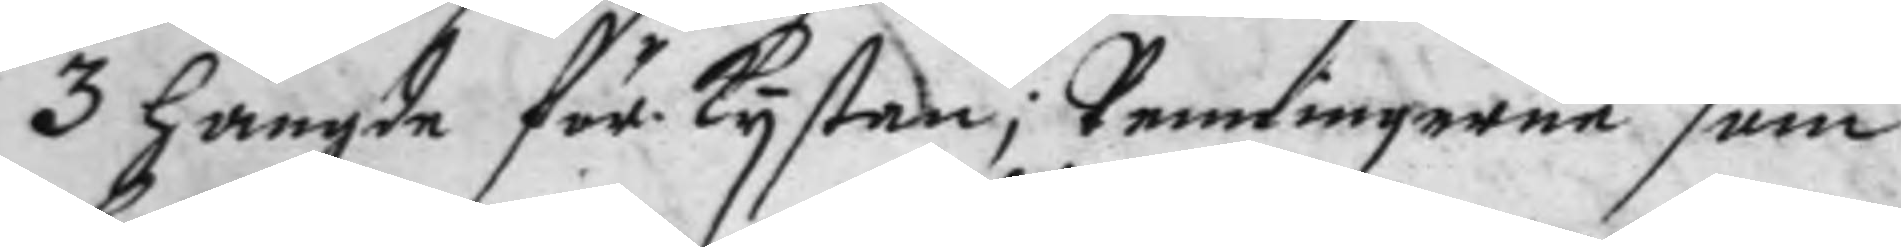3 hängde för kystan; Penningerne som
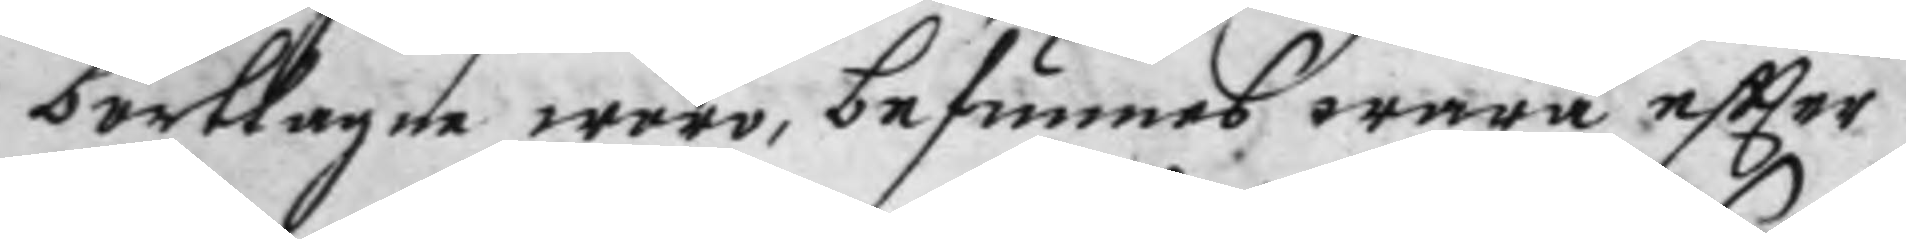borttagne woro, befunnes wara eftter
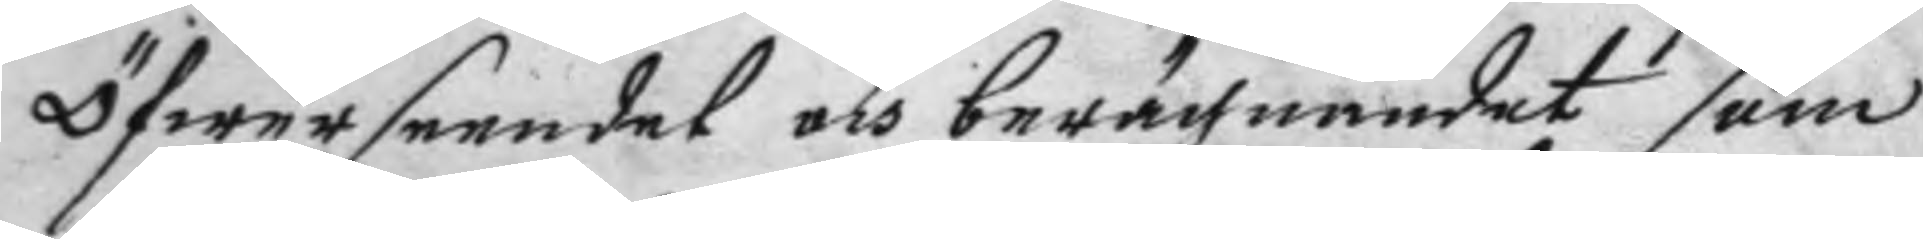öfwerseendet och berächnandes som
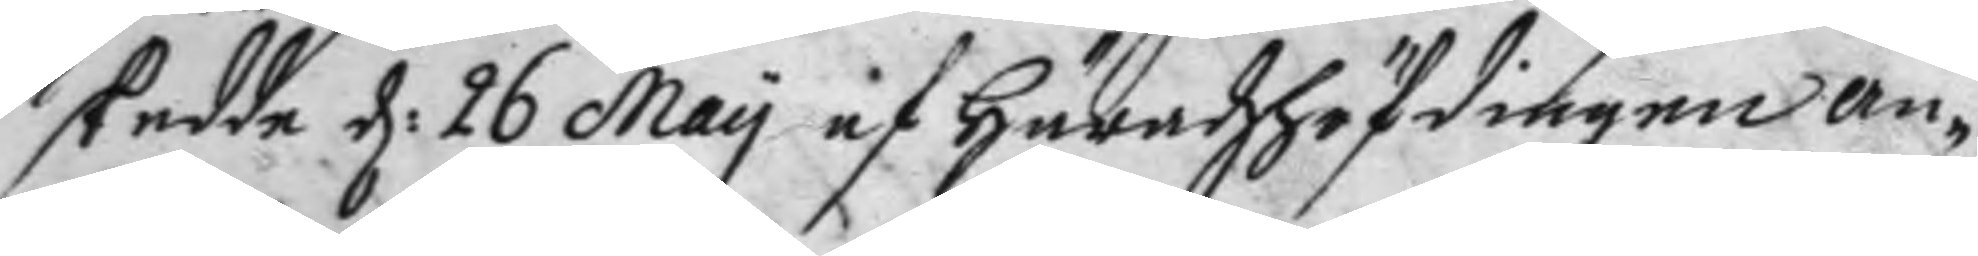skedde d: 26 May af Häradzhöfdingen an¬
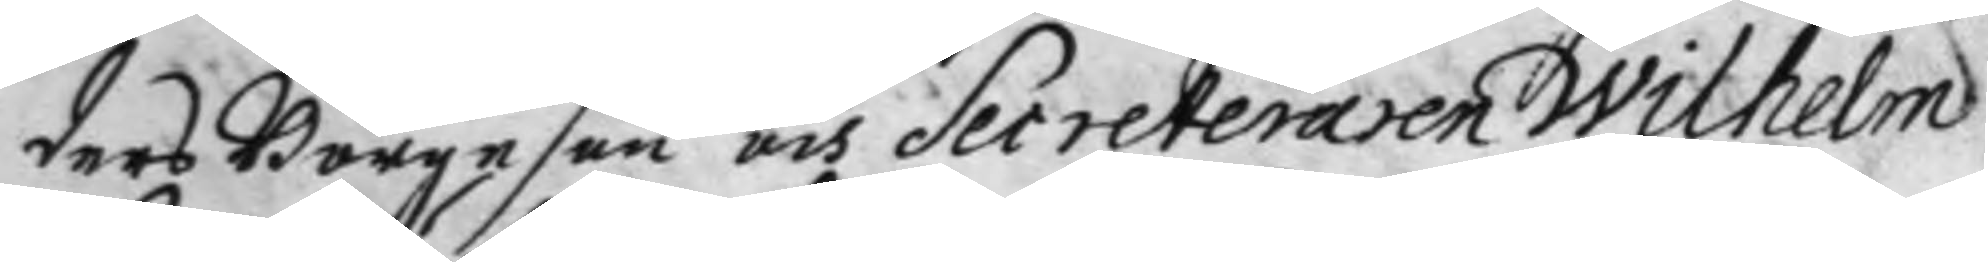ders Börgeson och Secreteraren Wilhelm
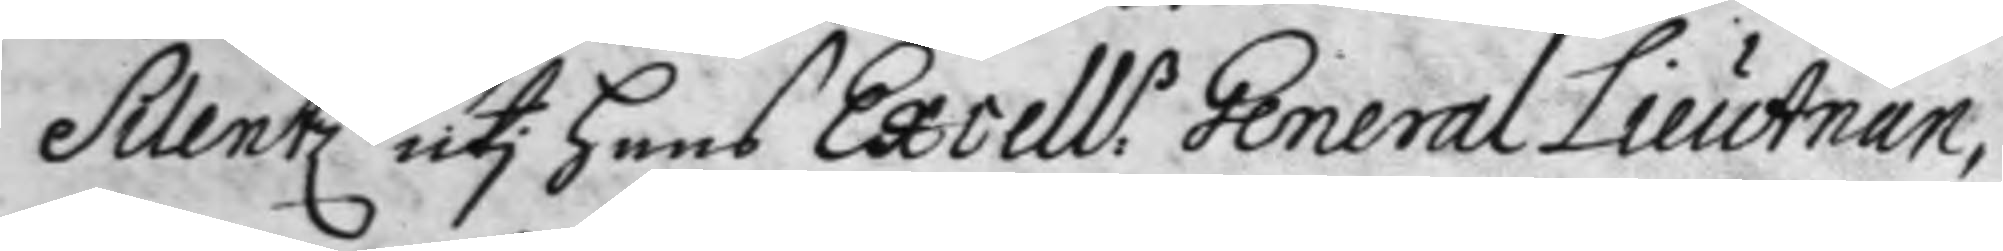Silentz uti hans Excell:s General Lieutnan¬
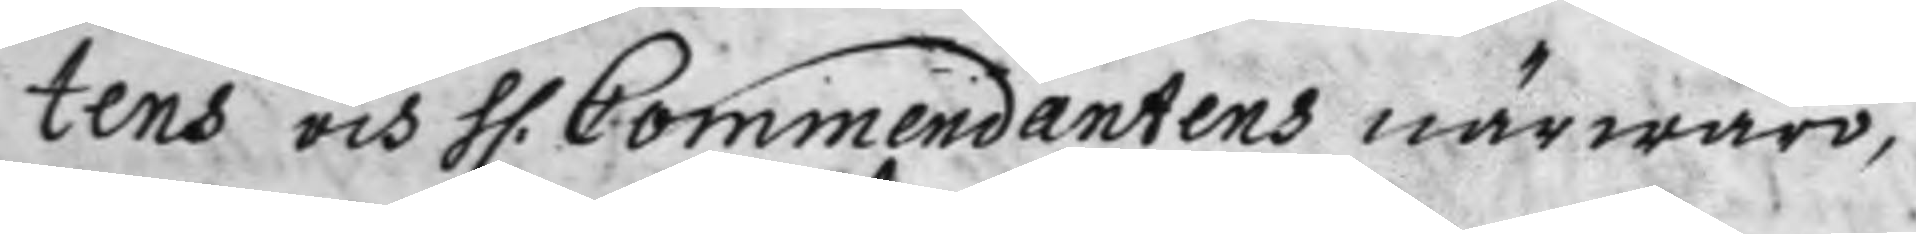tens och h: Commendantens närwaro,
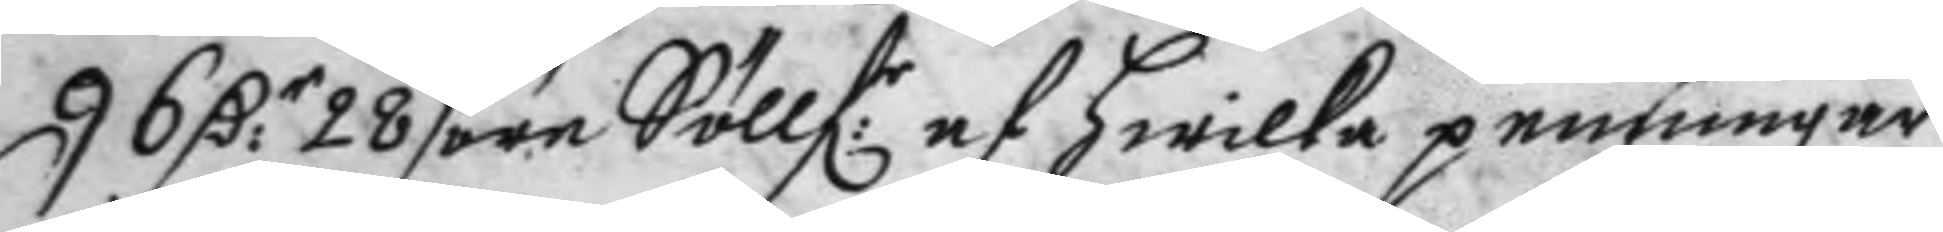96 D:r 28/öre Söllf:r af hwilka penningar
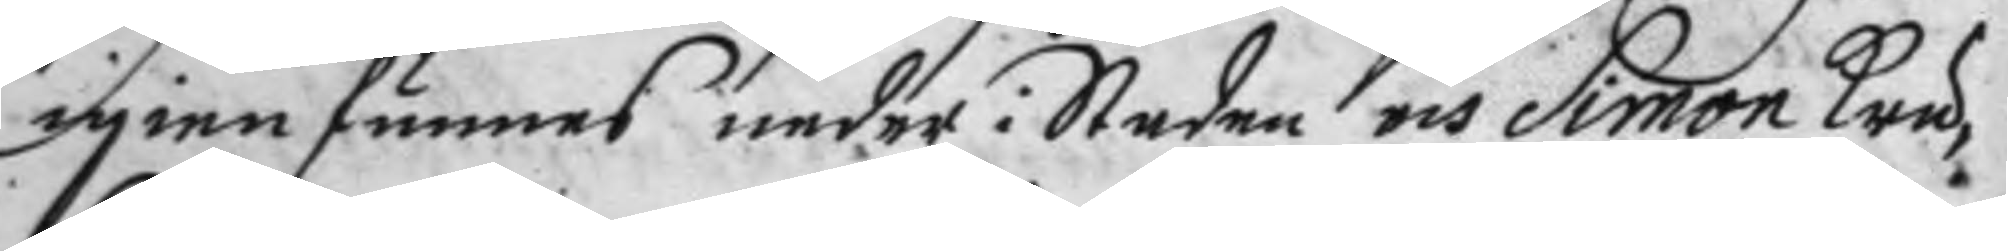igienfunnes neder i Staden och Simon Kru¬
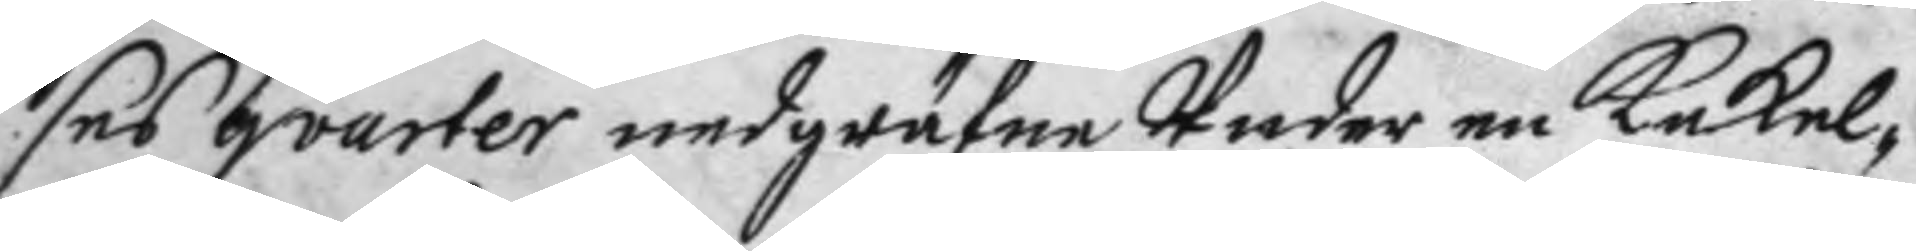ses qvarter nedgräfne Under en Kakel¬
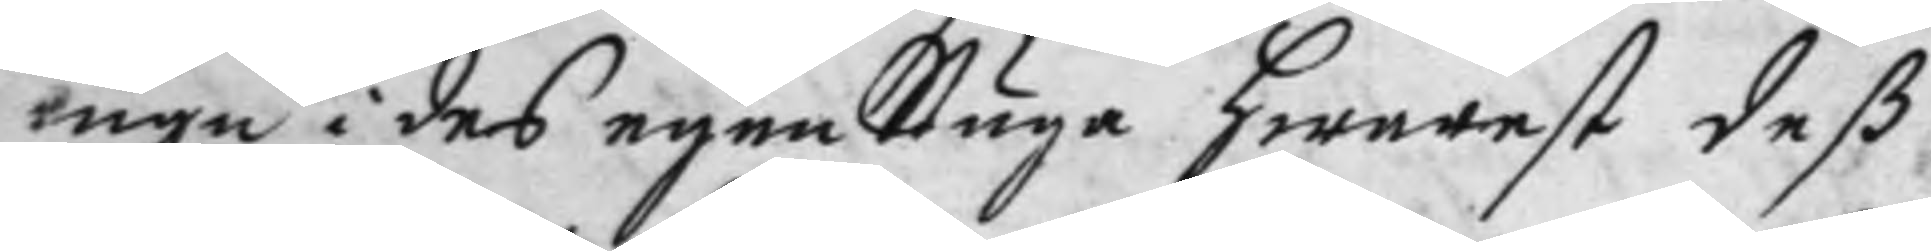ugn i des egen Stuga hwarest deß
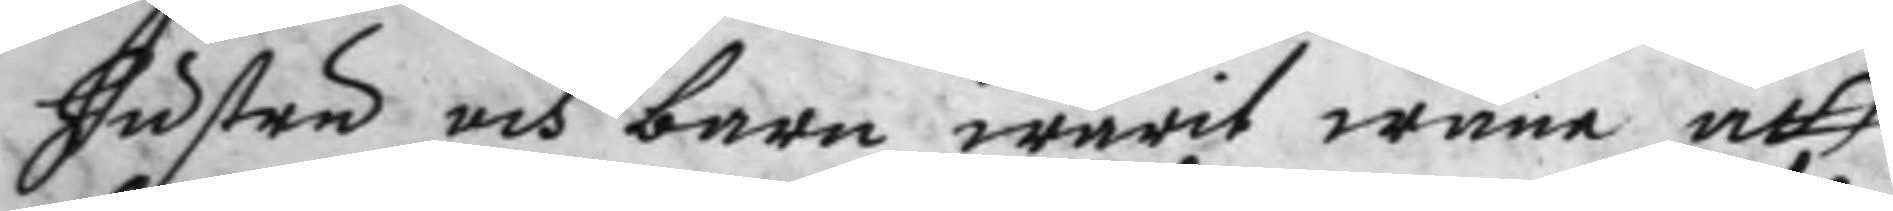hustru och barn warit wana att
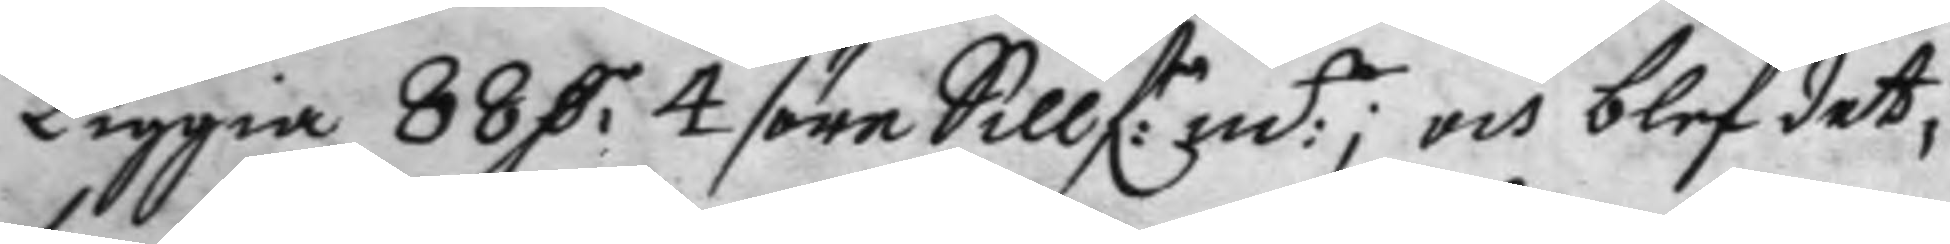liggia 88 D:r 4/öre Sillf:r m:t; och blef det¬
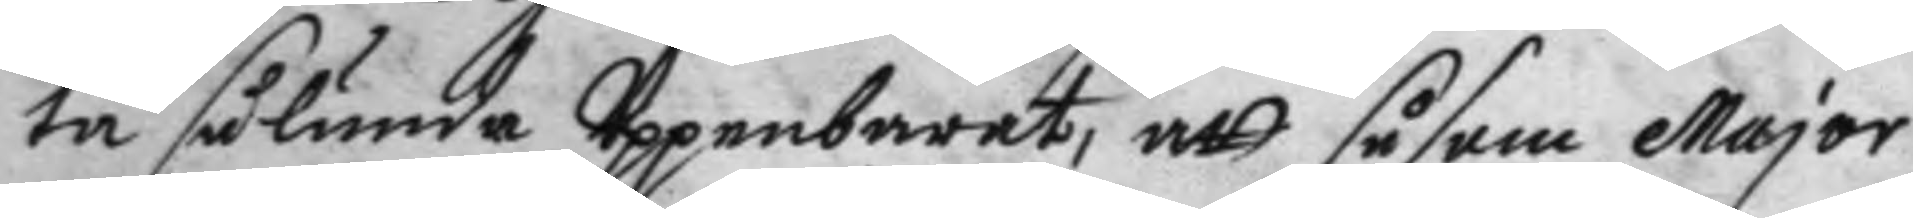ta sålunda Uppenbarat, att såsom Major
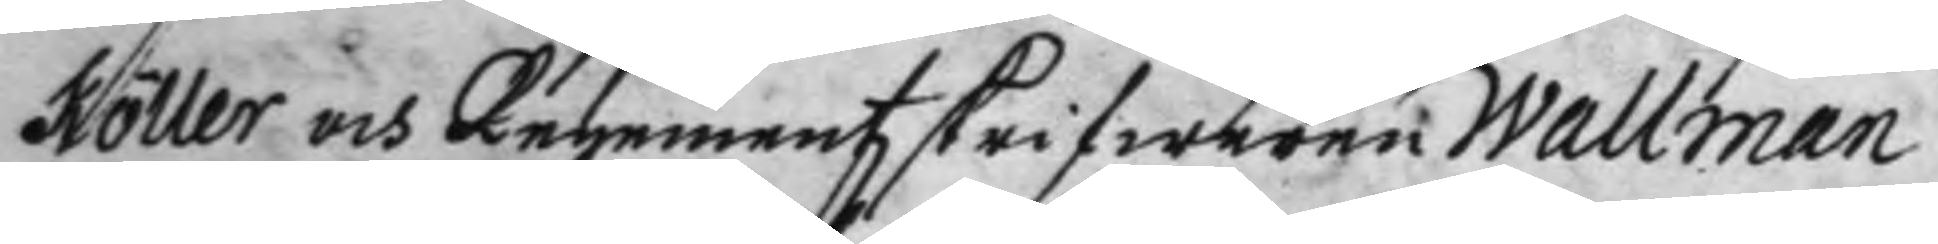Köller och Regementzskrifwaren Wallman
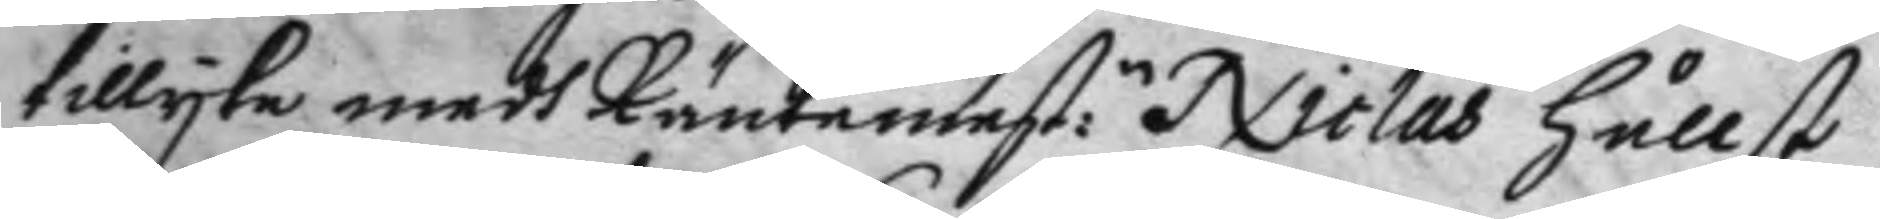tillyka medh Räntemest:n Niclas hållst
